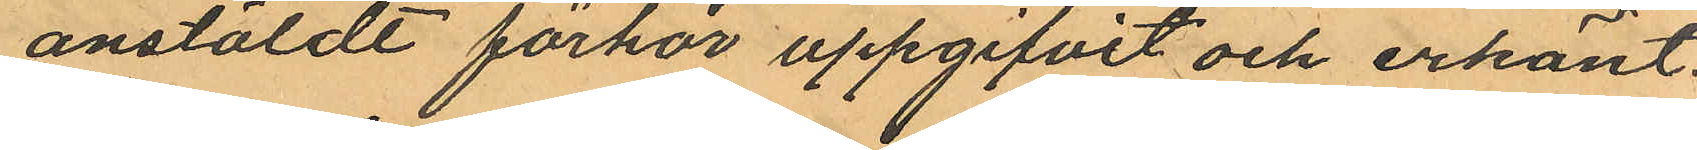anstäldt förhör uppgifvit och erkänt.
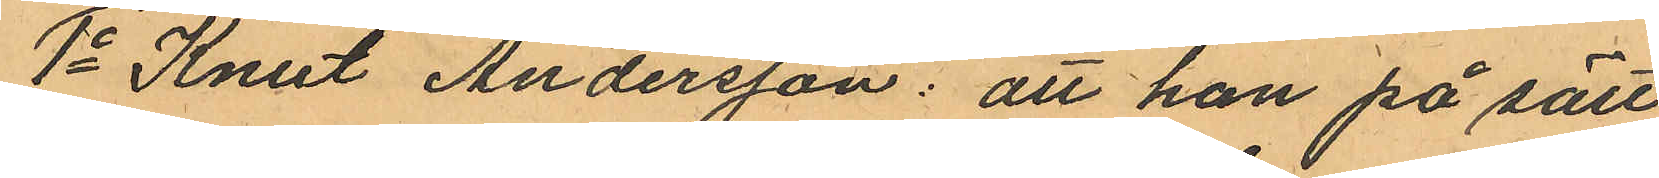1o Knut Andersson: att han på sätt
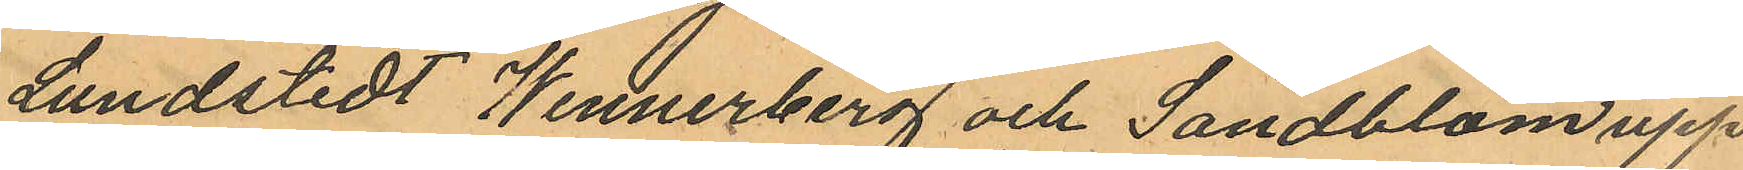Lundstedt Wennerberg och Sandblom upp
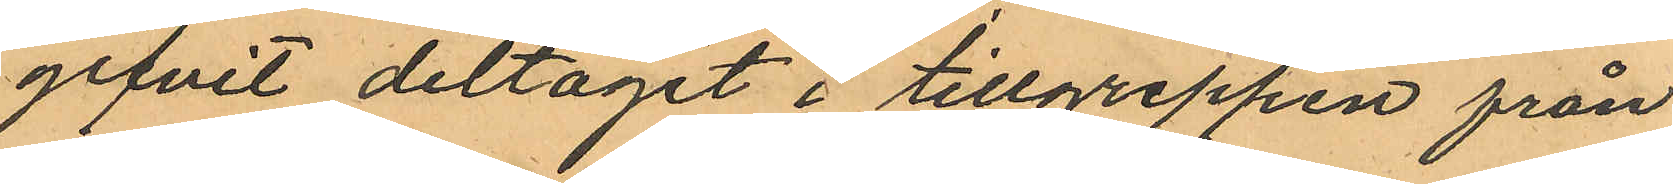gifvit deltagit i tillgreppen från
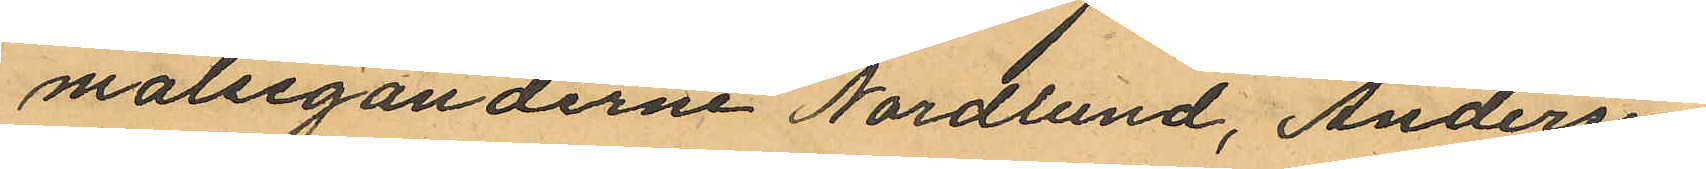malseganderne Nordlund, Andersén,
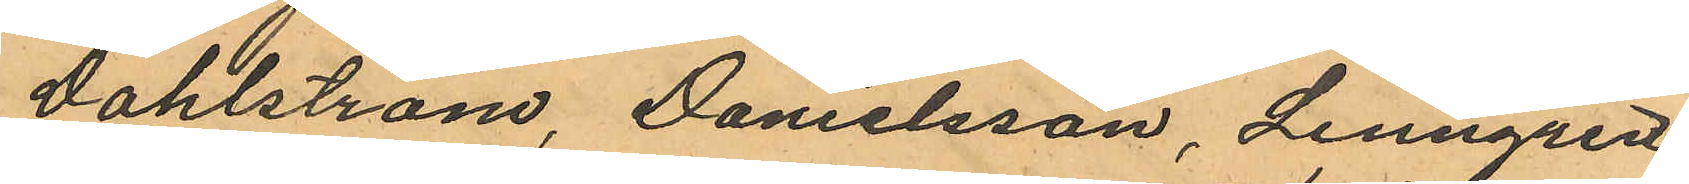Dahlström, Danielsson, Lenngren
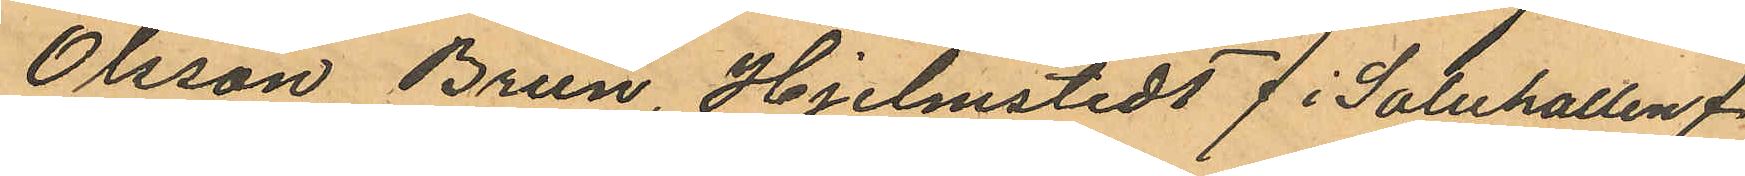Olsson, Brun, Hjelmsted /i Saluhallen/
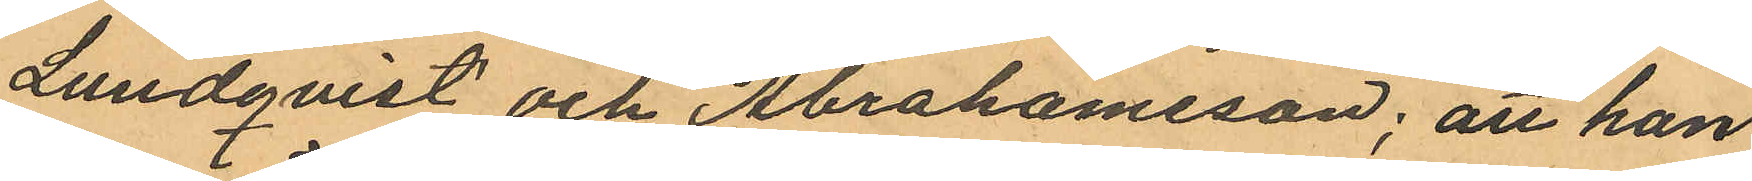Lundqvist och Abrahamsson; att han
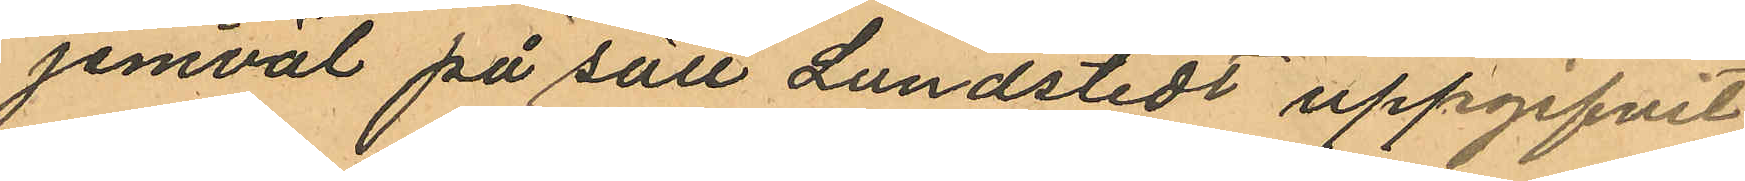jemväl på sätt Lundstedt uppgifvit
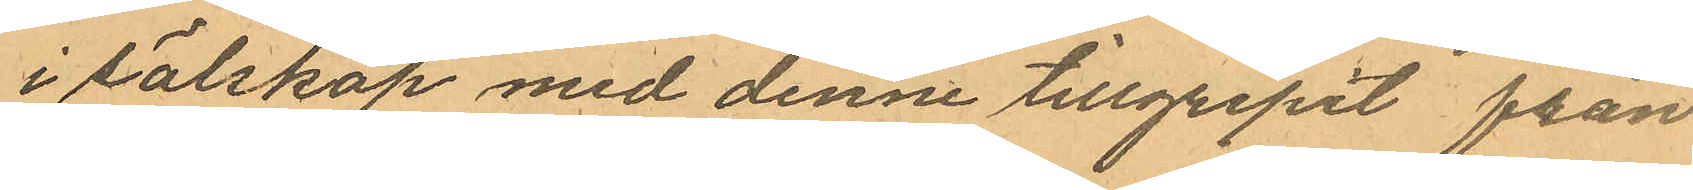i sälskap med denne tillgripit från
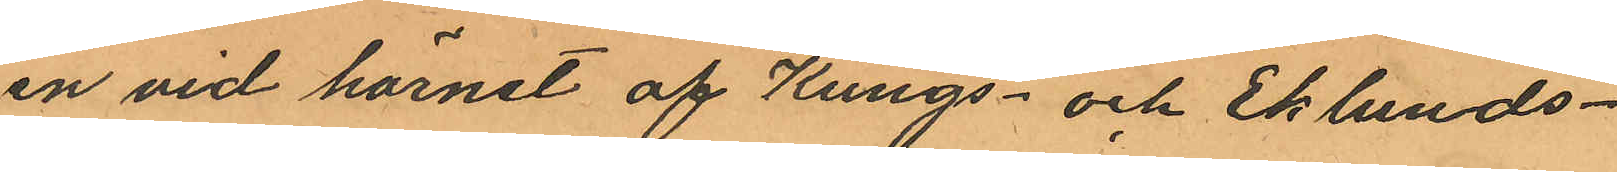en vid hörnet af Kungs- och Eklunds-
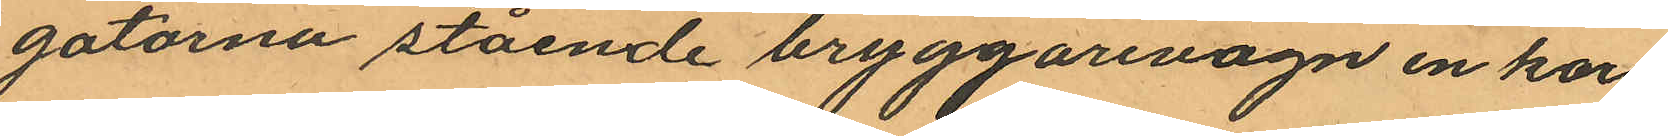gatorna stående bryggarevagn en korg
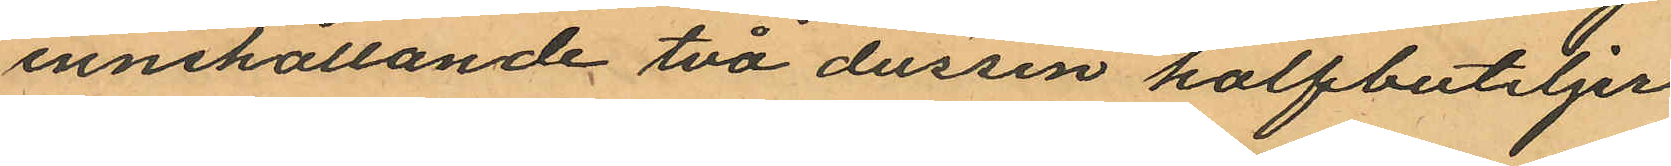innehållande två dussin halfbuteljer
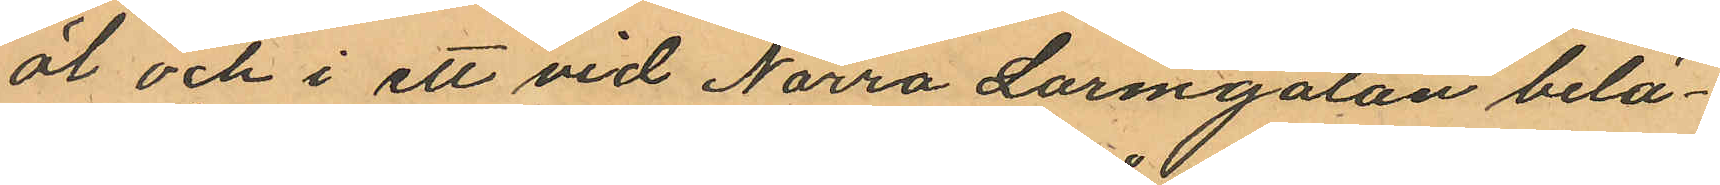öl och i ett vid Norra Larmgatan belä¬
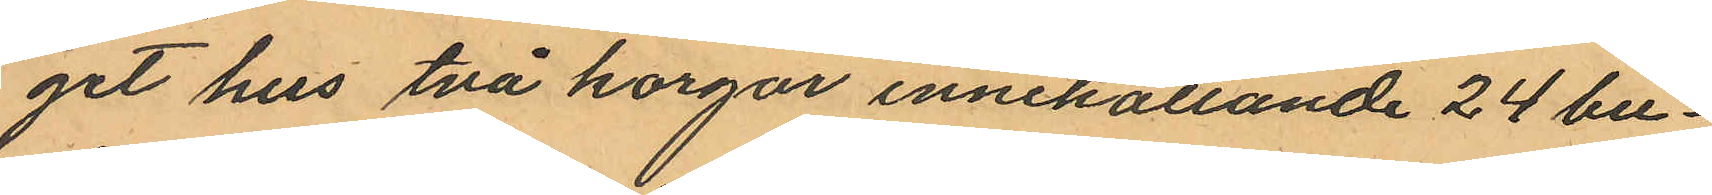get hus två korgar innehållande 24 bu¬
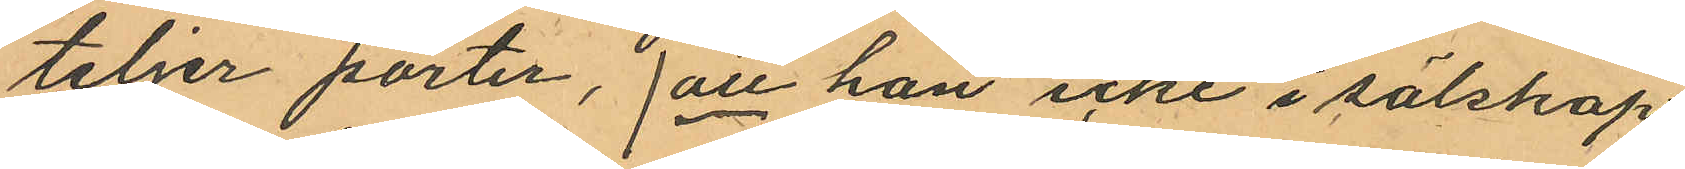teljer porter, /att han icke i sälskap
